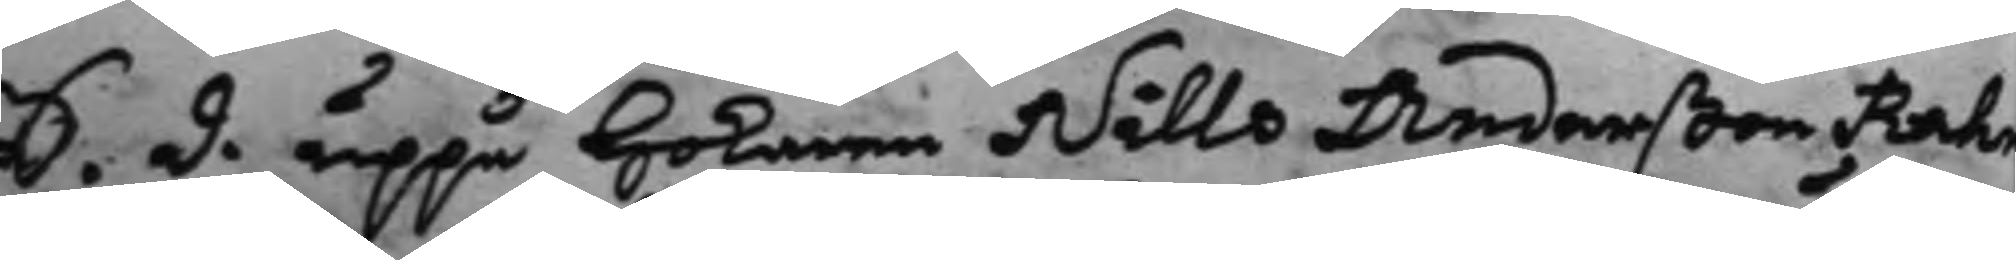S. d. uppå Hökaren Nills Anderßon Rahm
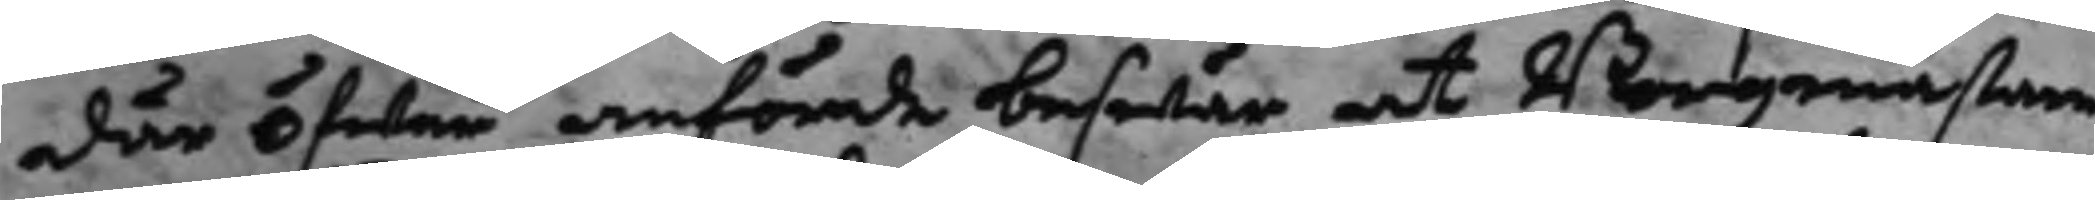där öfwer anförde beswär at Borgmästare
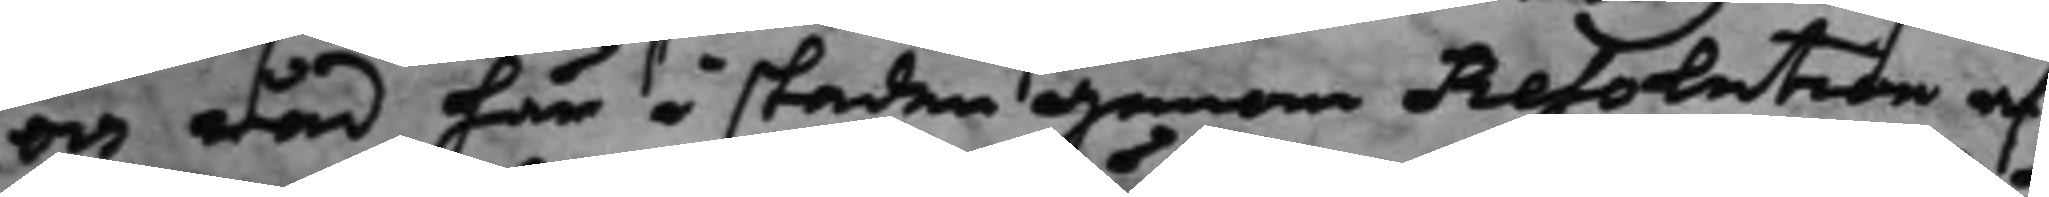och råd här i staden genom Resolution af
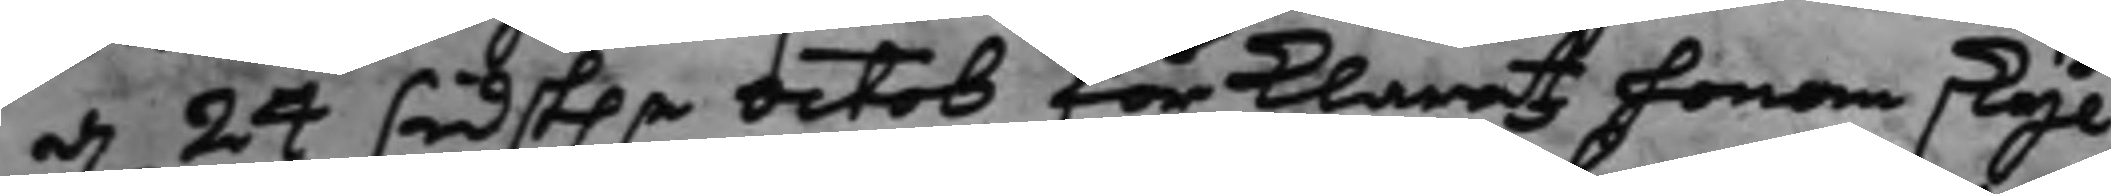d. 24 sidst.e Octob förklarat honom skyl¬
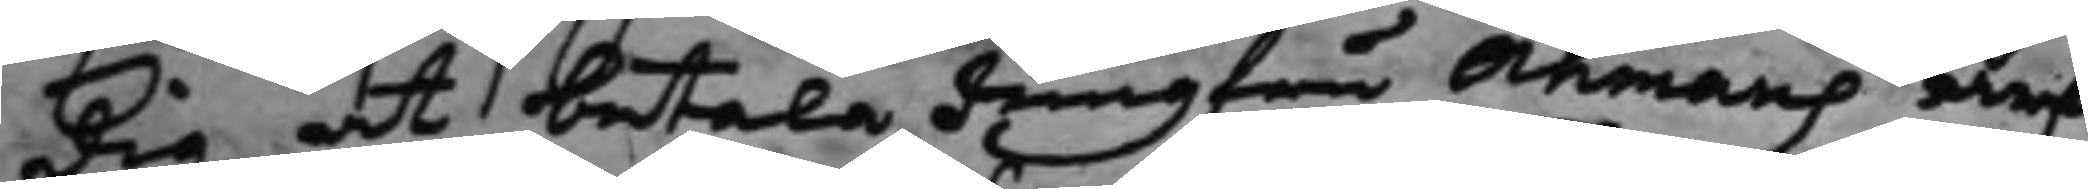dig at betala Jungfru Åhmans arf
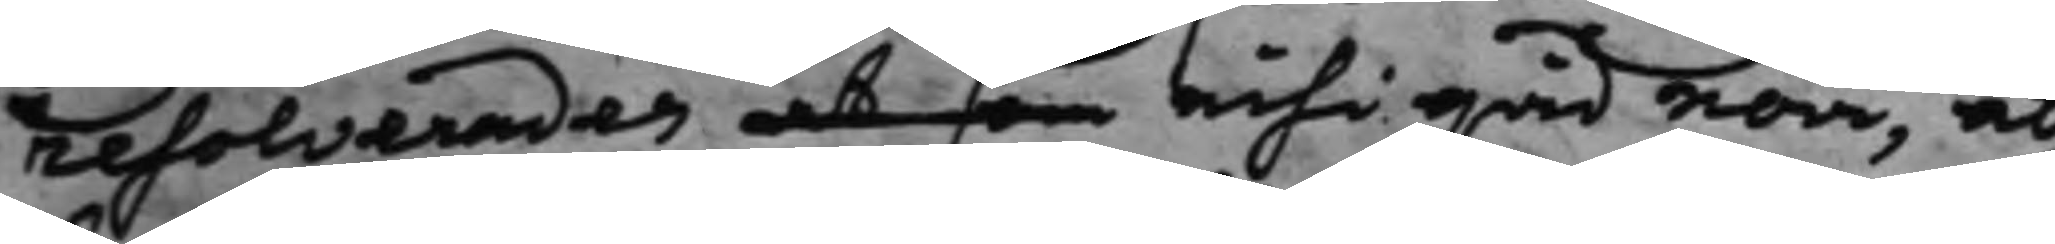resolverades at som nihi quid novi, at
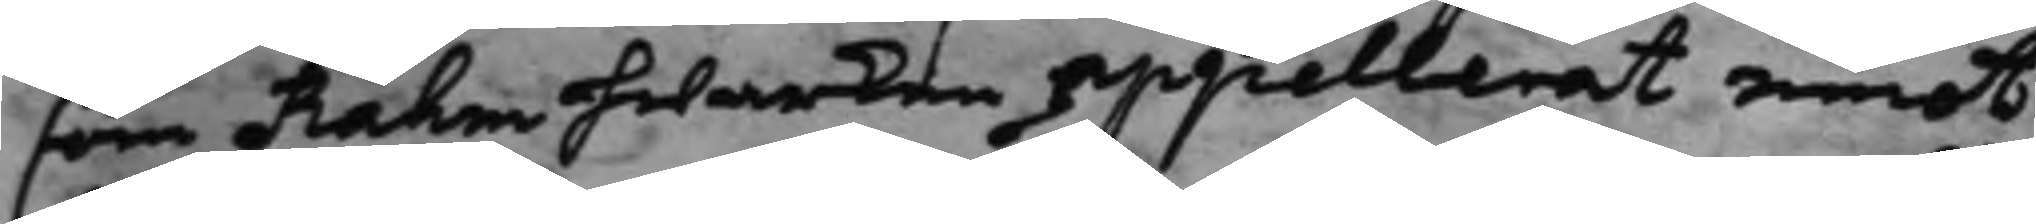som Rahm hwarken appellerat emot
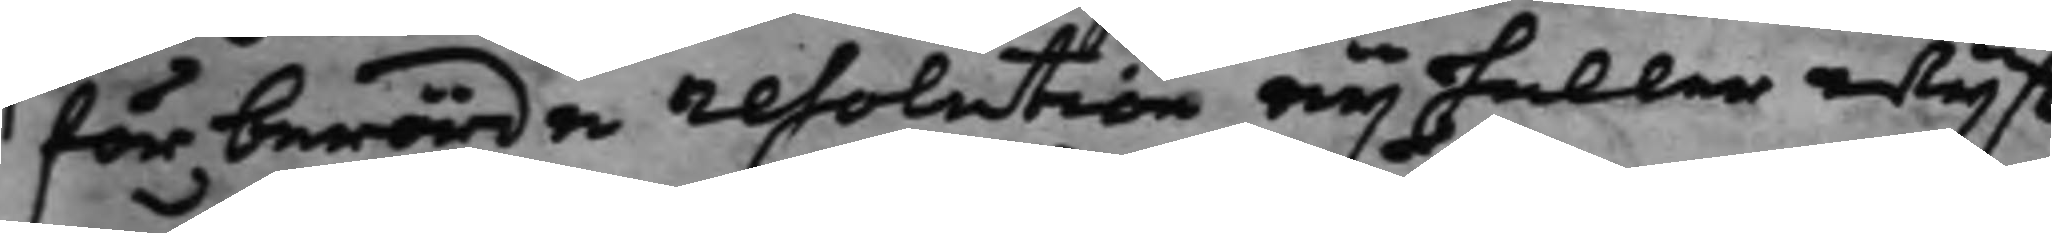för berörda resolution eij heller wijst
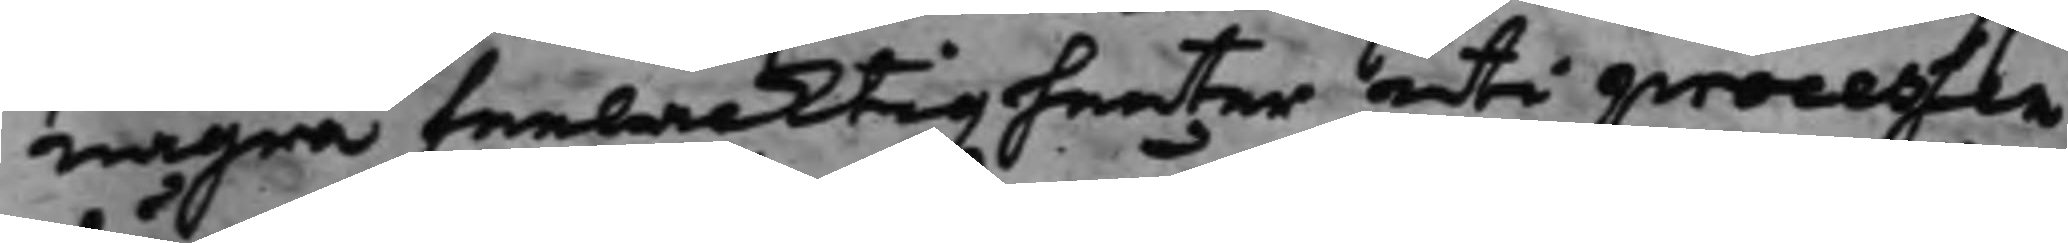några feelacktigheeter uti processen
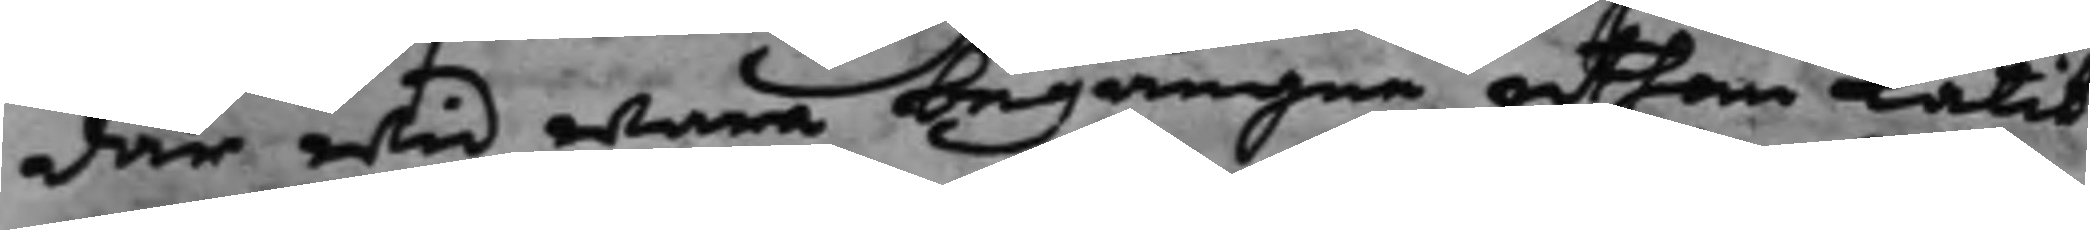där wid wara begångne uthan låtit
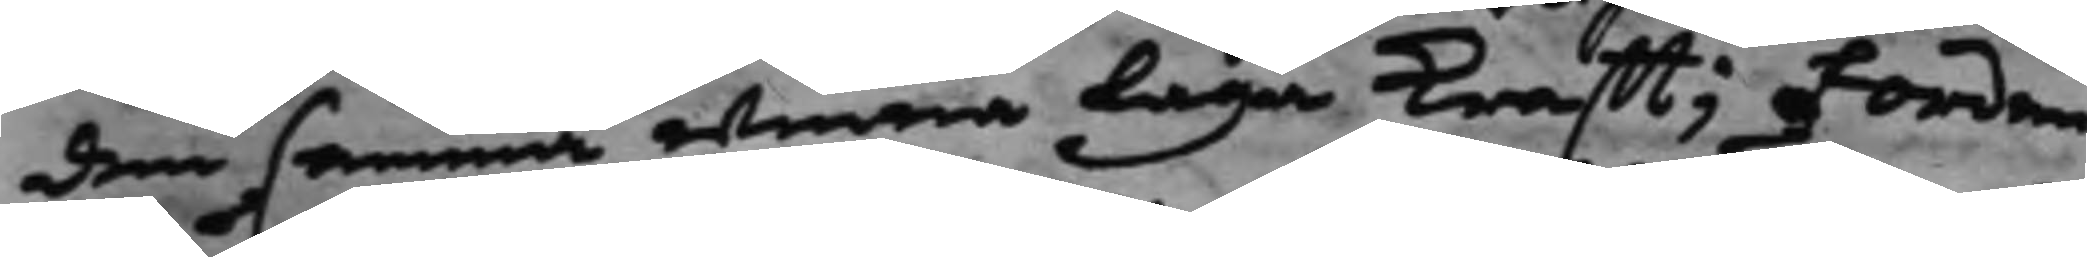den samma winna Laga Krafft; Förden¬
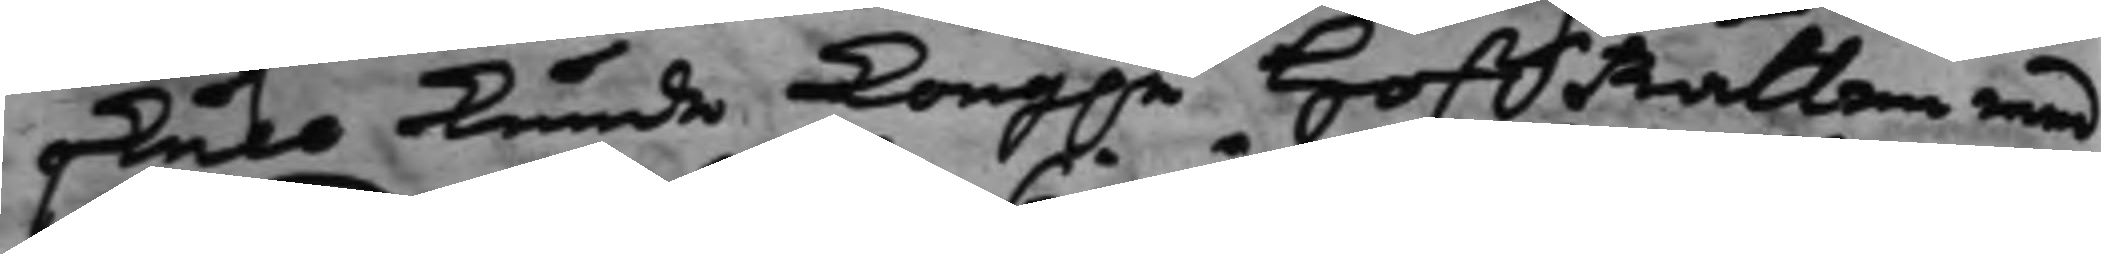skull kunde Kong.e HoffRätten med
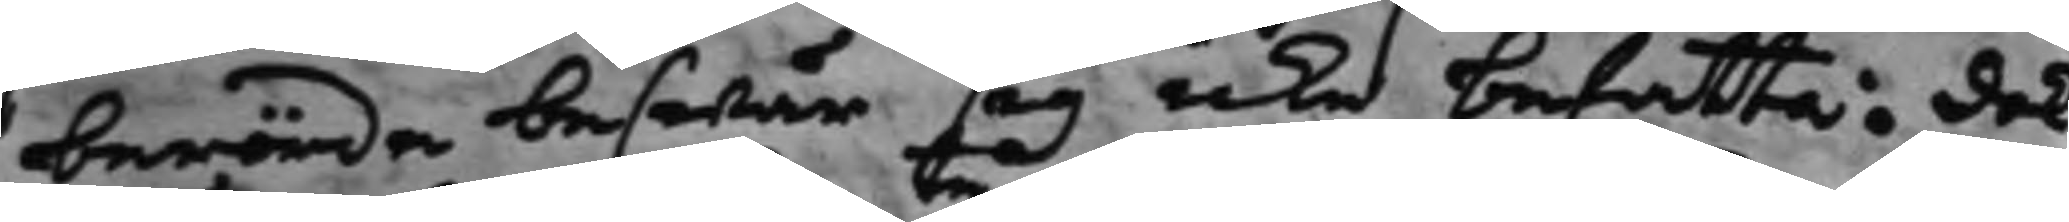berörde beswär sig icke befatta: dok
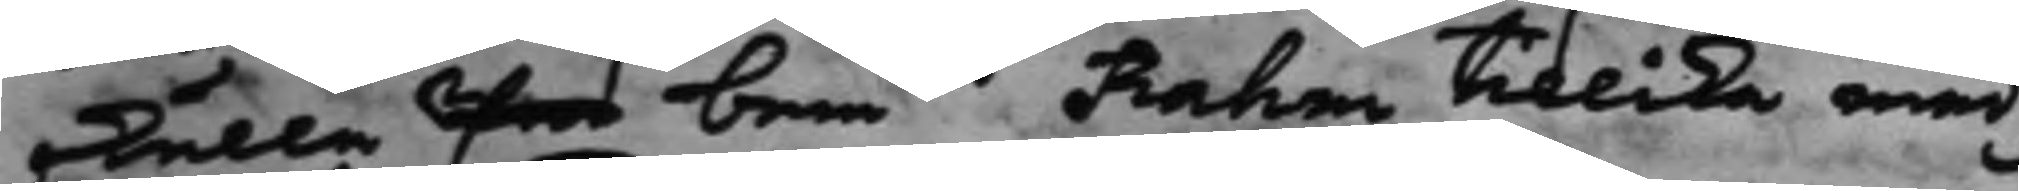skulle Proo bemte Rahm tillika med
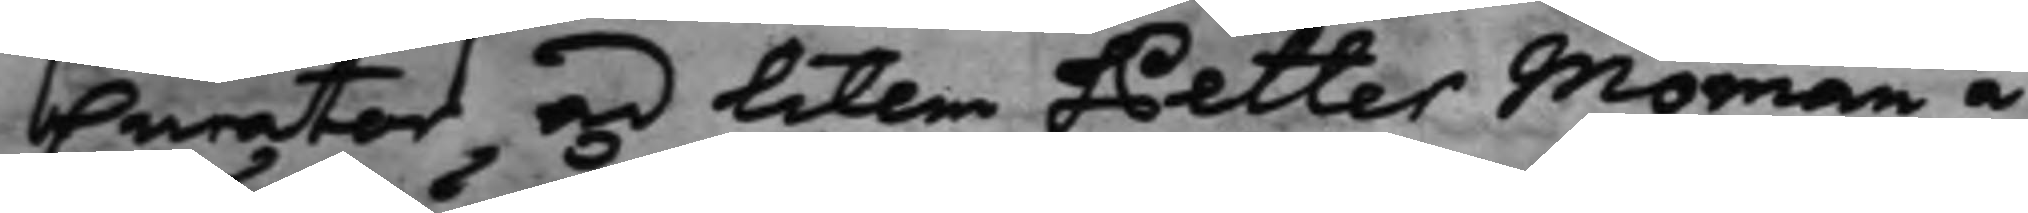Curator ad litem Petter Moman å
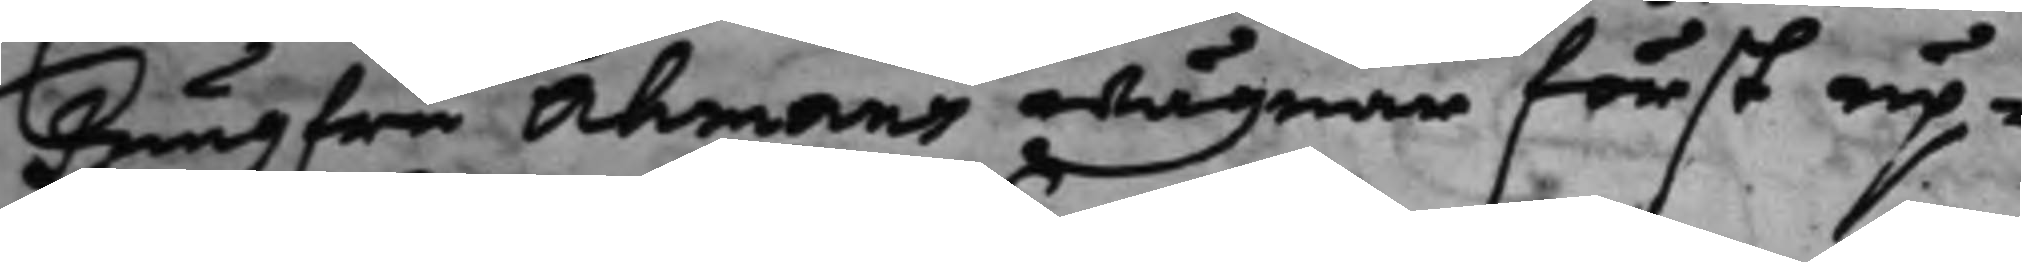Jungfru Åhmans wägnar först up¬
